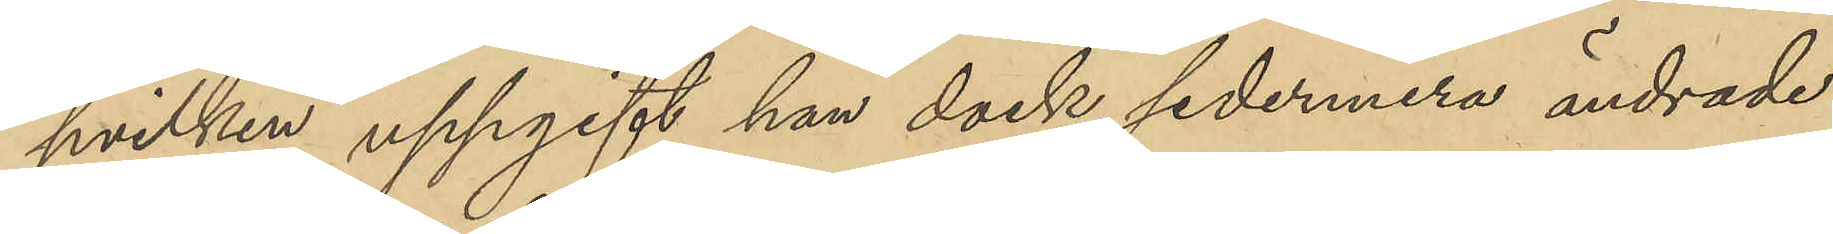hvilken uppgift han dock sedermera ändrade
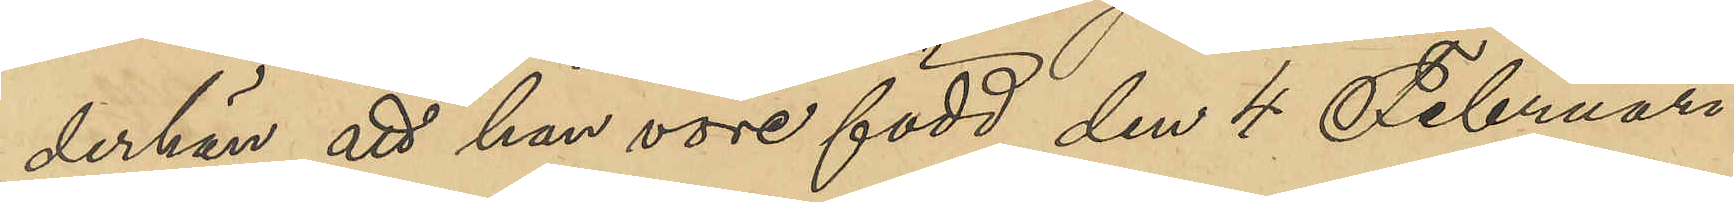derhän att han vore född den 4 Februari
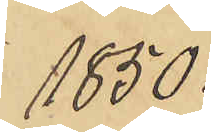1850.
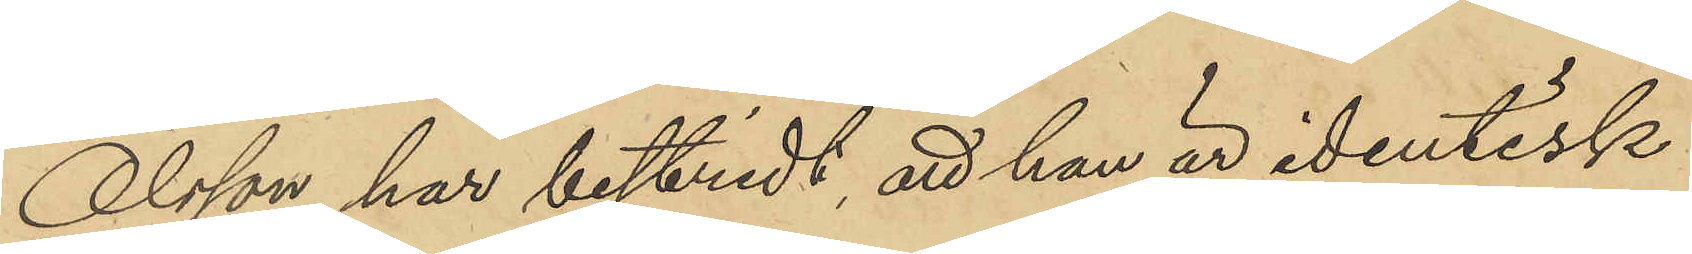Olsson har bestridt, att han är identisk
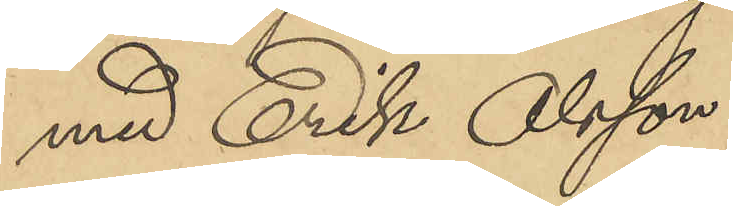med Erik Olsson.
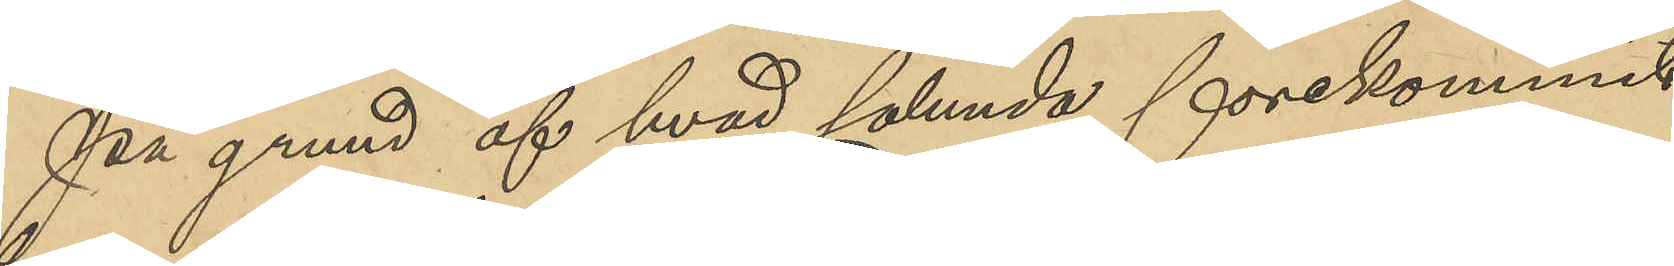På grund af hvad sålunda förekommit
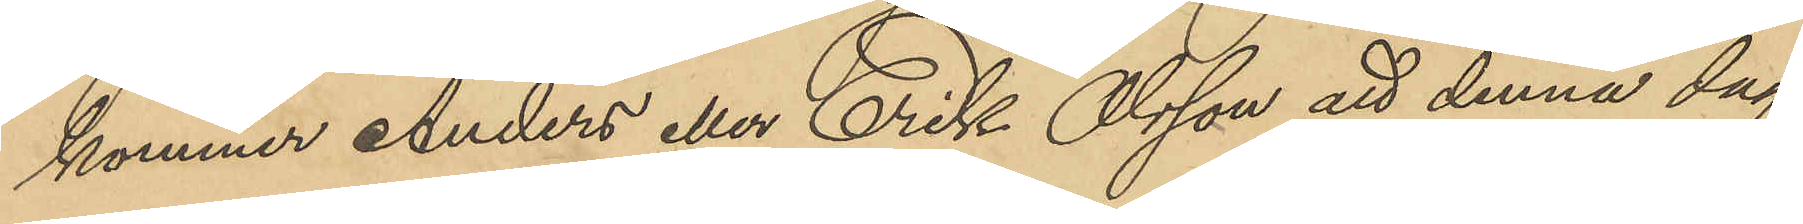kommer Anders eller Erik Olsson att denna dag
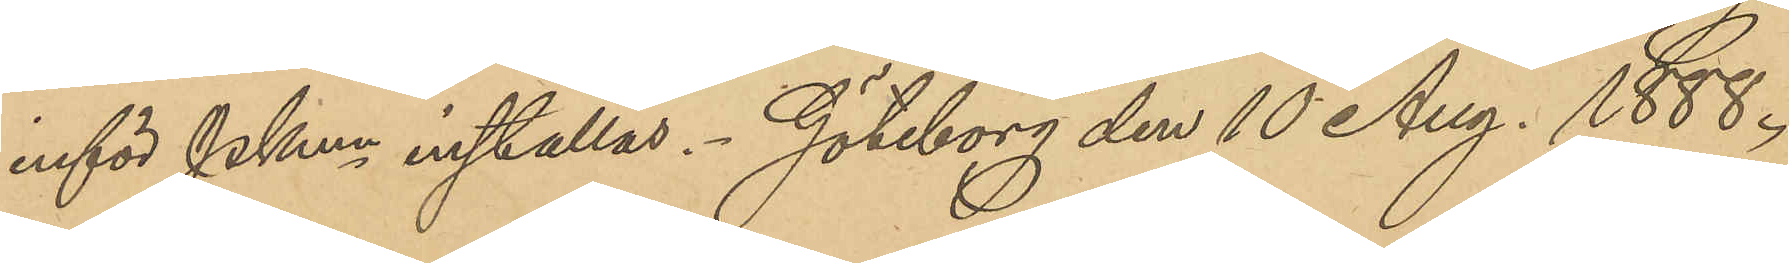inför Pkmn inställas. Göteborg den 10 Aug. 1888.
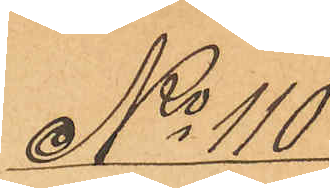No 110
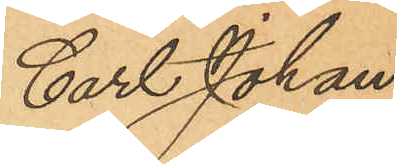Carl Johan
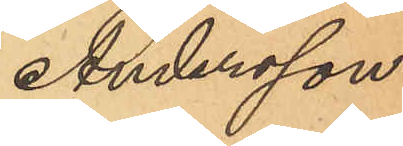Andersson.
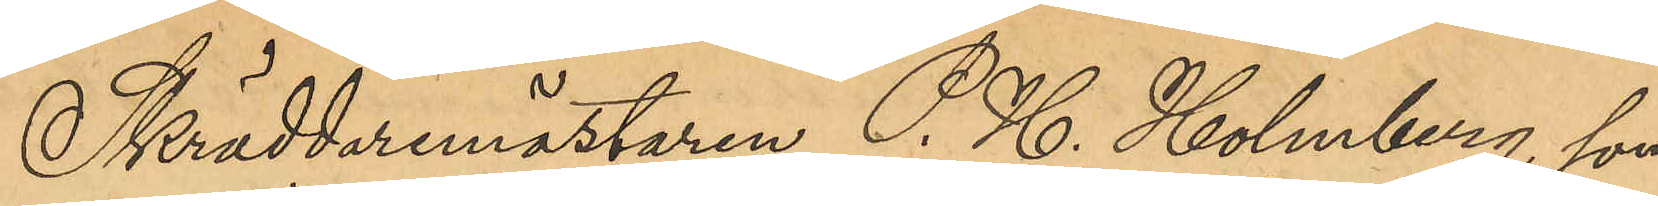Skräddaremästaren P. H. Holmberg, som
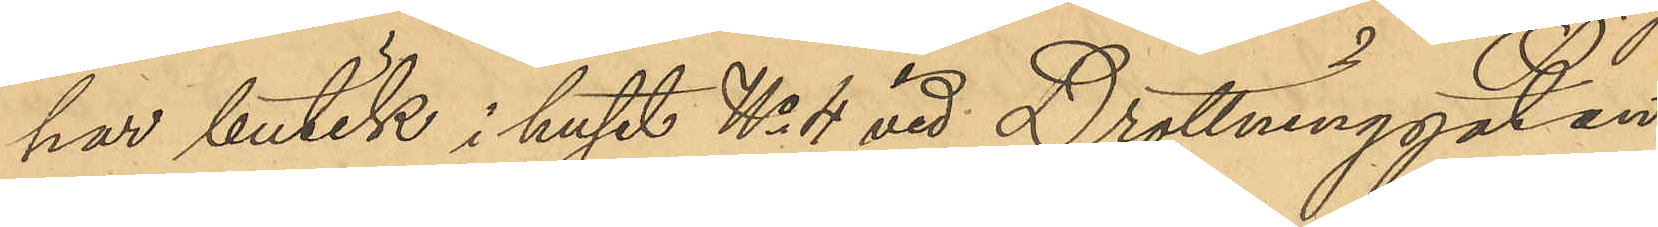har butik i huset No 4 vid Drottninggatan,
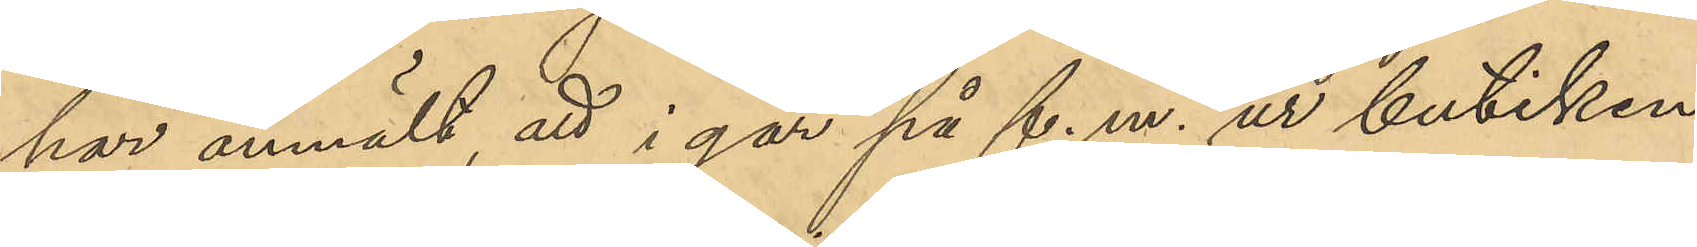har anmält, att i går på f. m. ur butiken
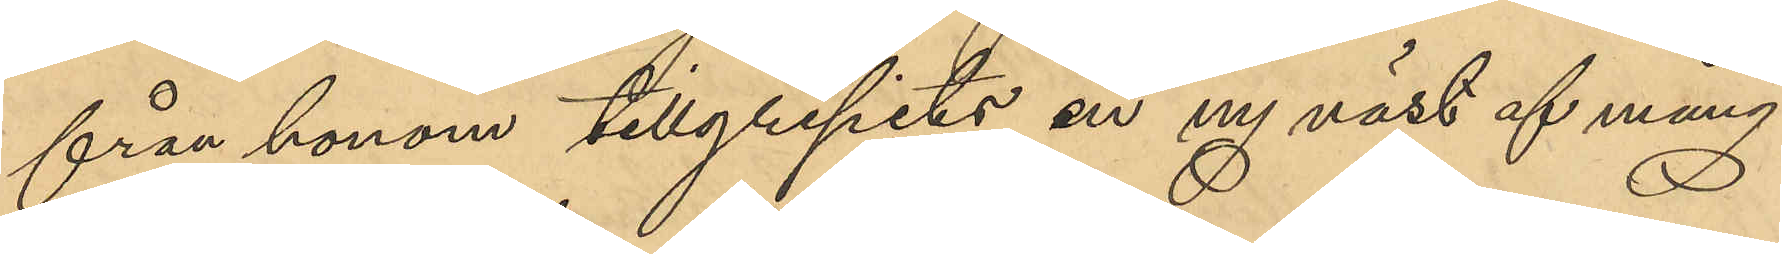från honom tillgripits en ny väst af mång¬
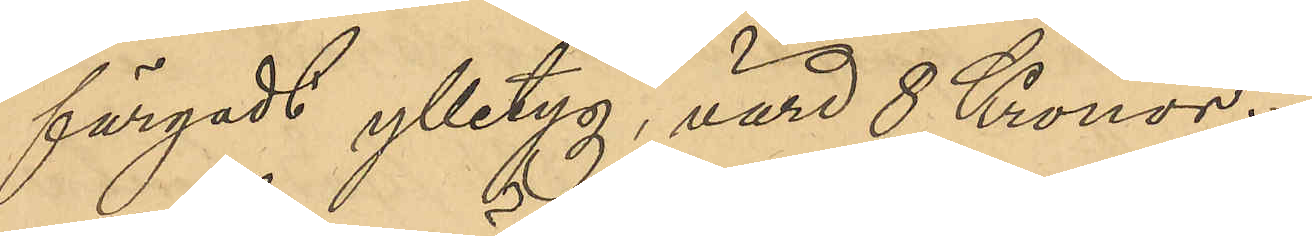färgadt ylletyg, värd 8 Kronor.
